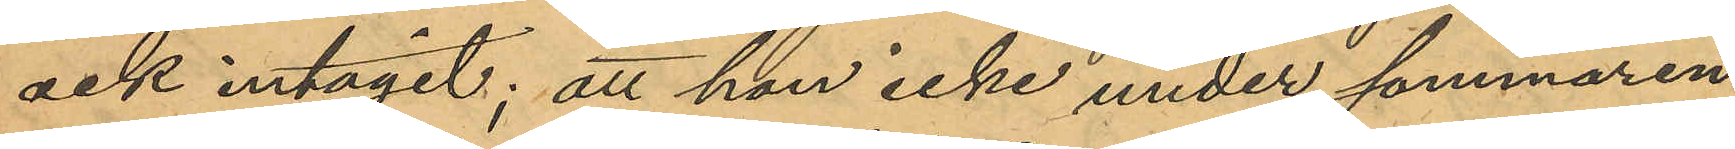ock intagit; att hon icke under sommaren
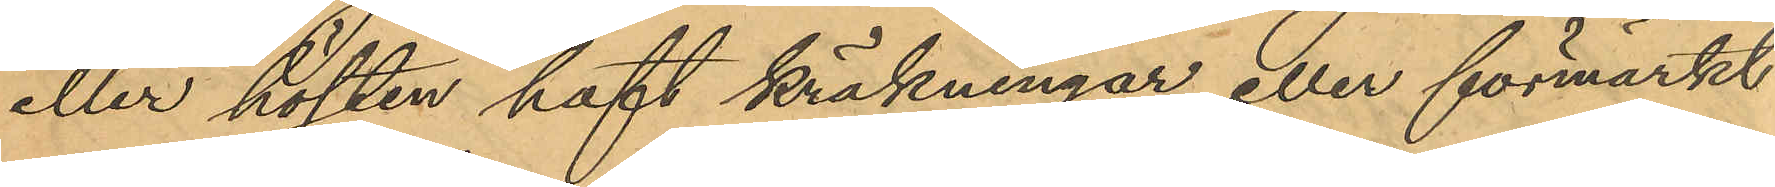eller hösten haft kräkningar eller förmärkt
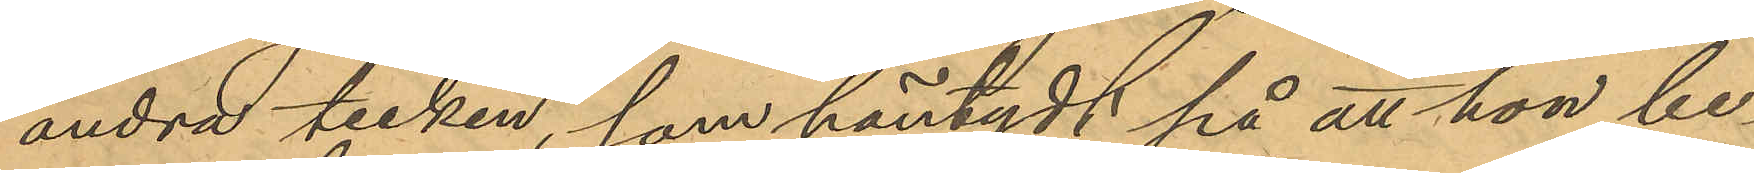andra tecken, som häntydt på att hon be¬
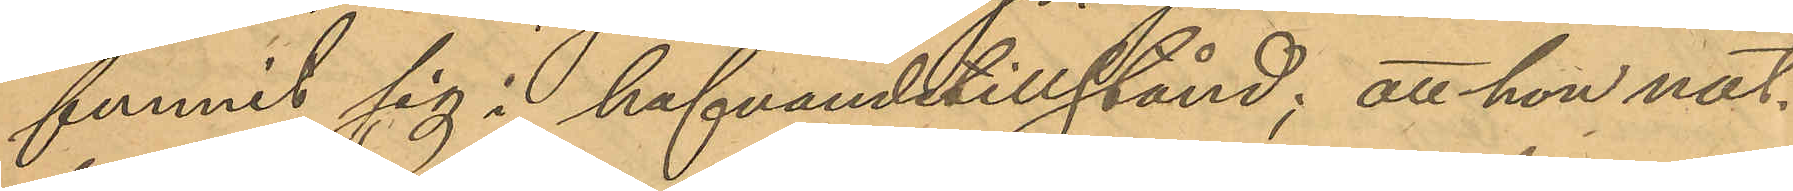funnit sig i hafvandetillstånd; att hon nat¬
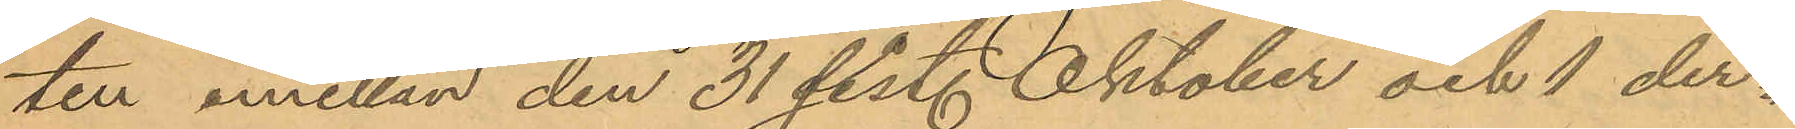ten emellan den 31 sist. Oktober och 1 dec¬
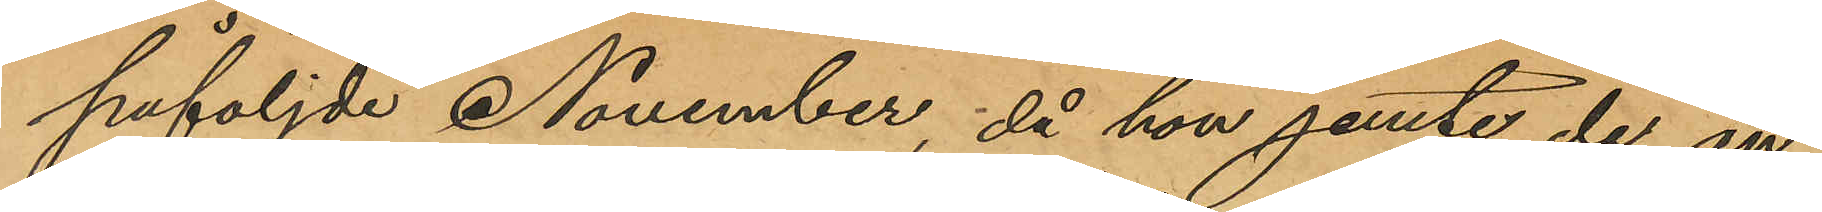påföljde November, då hon jemte de an¬
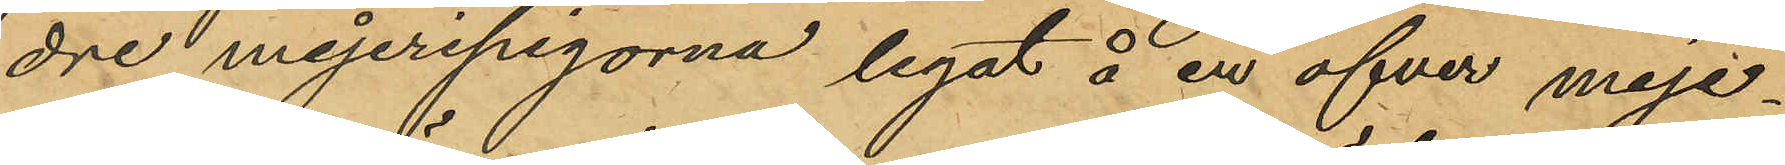dre mejeripigorna legat å en öfver mejer¬
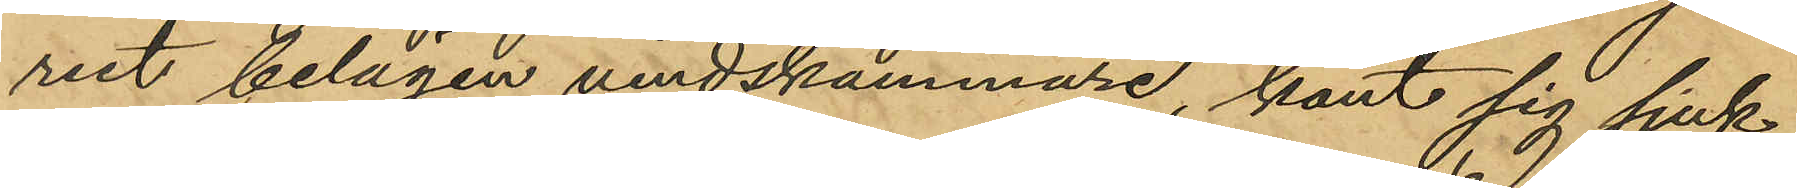riet belägen vindskammare, känt sig sjuk
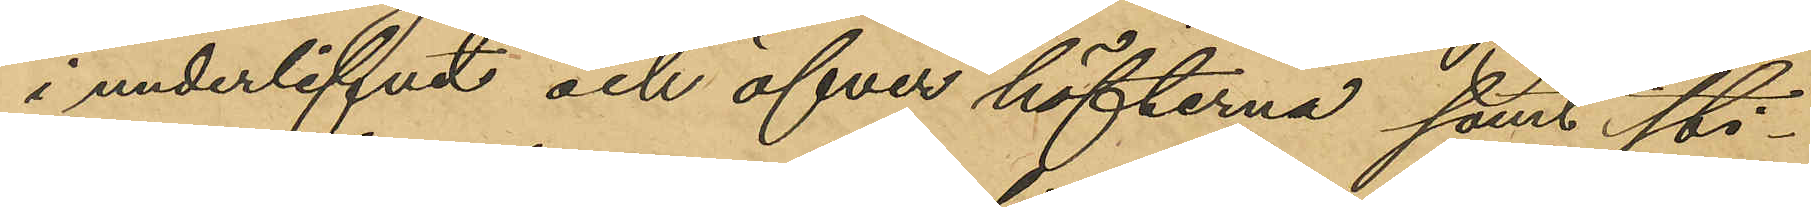i underlifvet och öfver höfterna samt sti¬
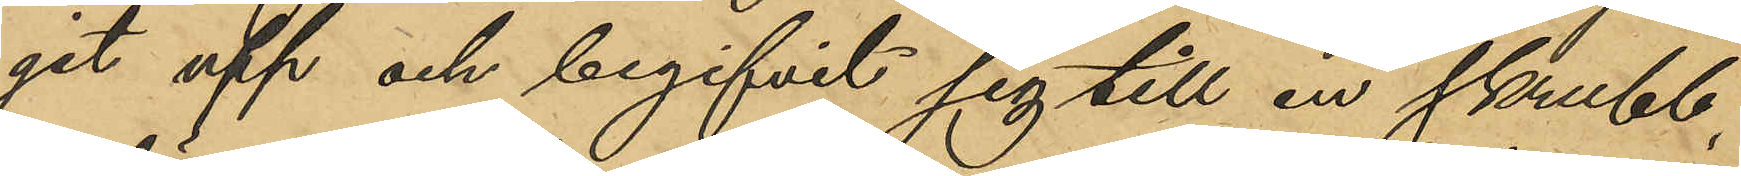git upp och begifvit sig till en skrubb,
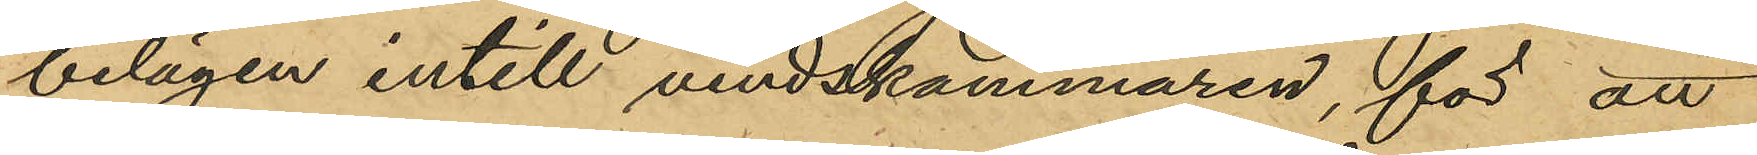belägen intill vindskammaren, för att
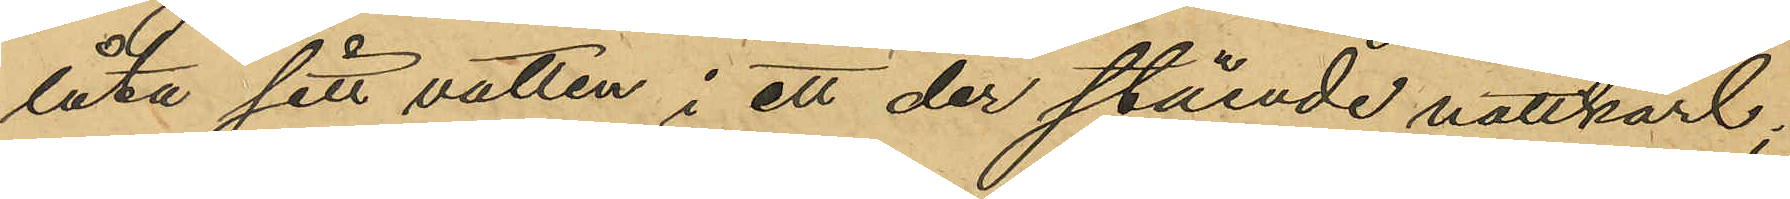låta sitt vatten i ett der stående nattkärl;
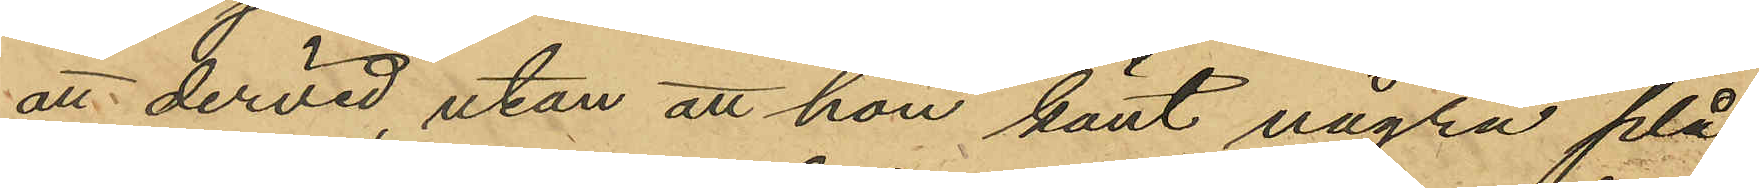att dervid, utan att hon känt några plå¬
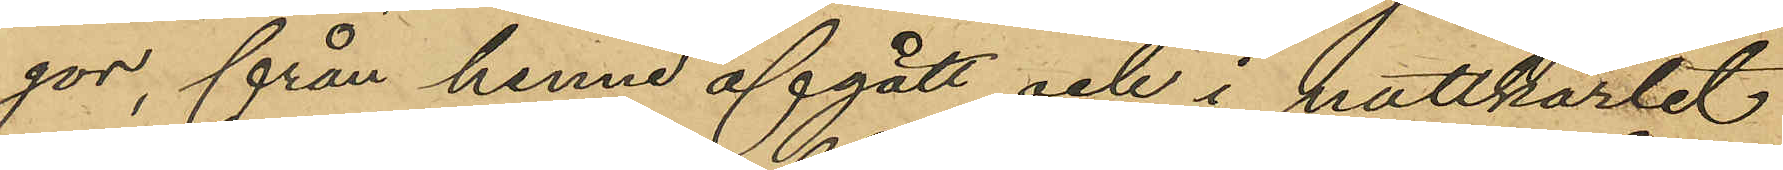gor, från henne afgått och i nattkärlet
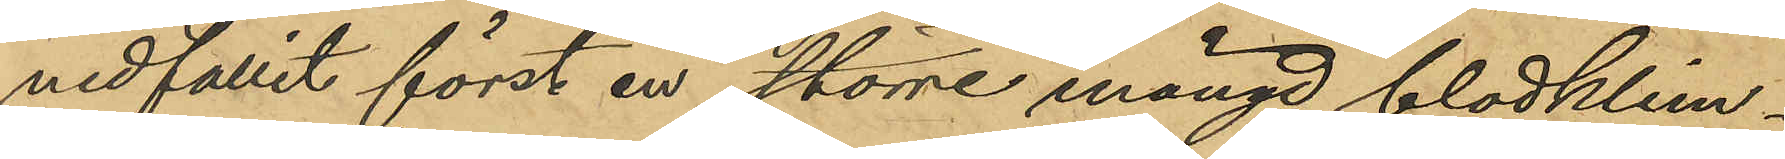nedfallit först en större mängd blodklim¬
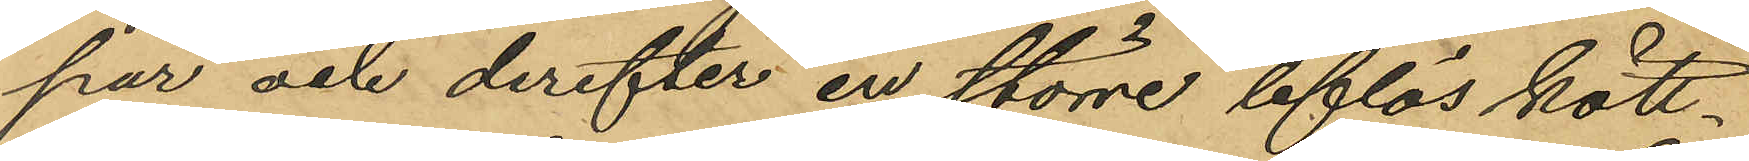par och derefter en större liflös kött¬
